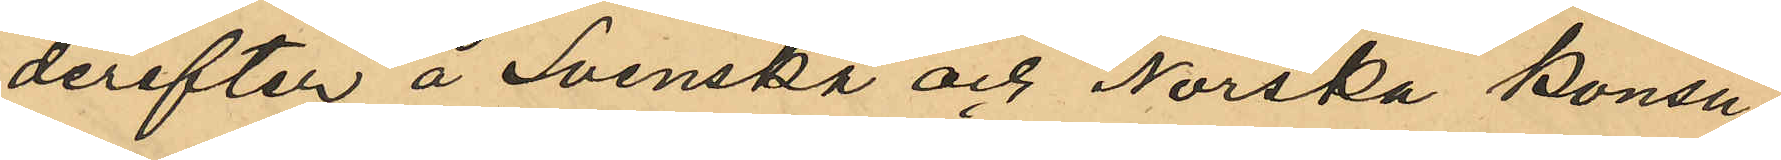derefter å Svenska och Norska konsu¬
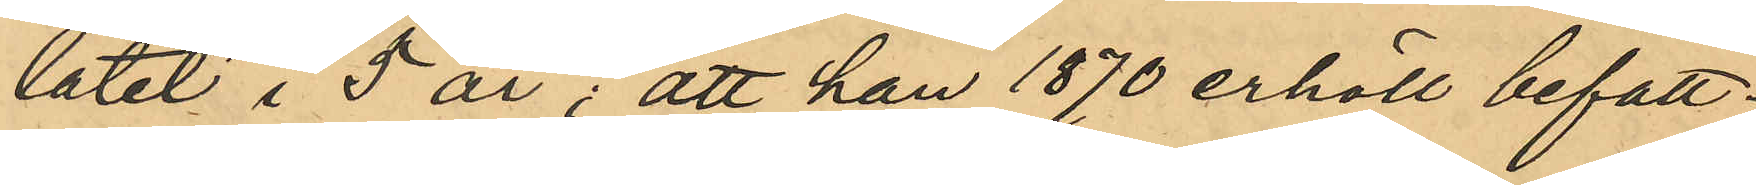latet i 5 år; att han år 1870 erhöll befatt¬
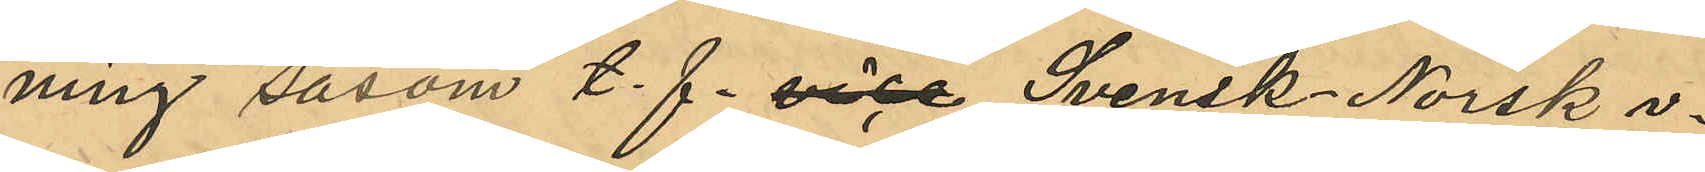ning såsom t. f.  vice Svensk - Norsk v.
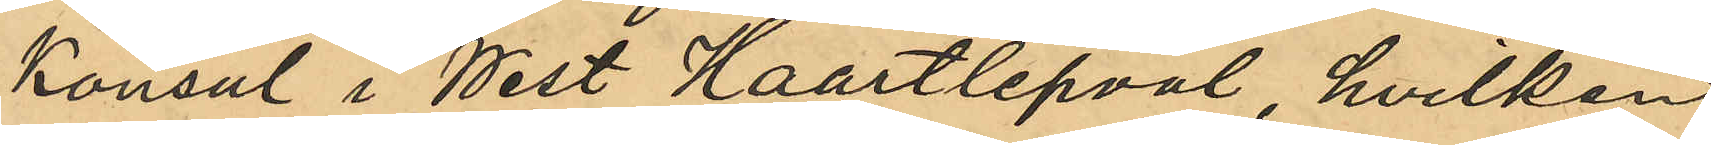Konsul i West Haartlepval, hvilken
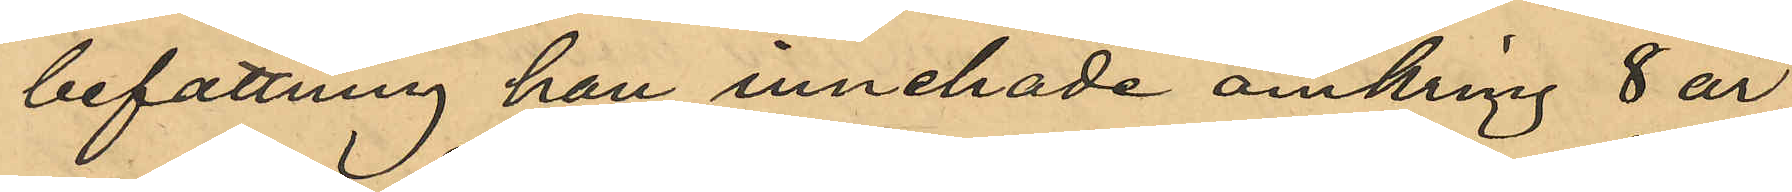befattning han innehade omkring 8 år;
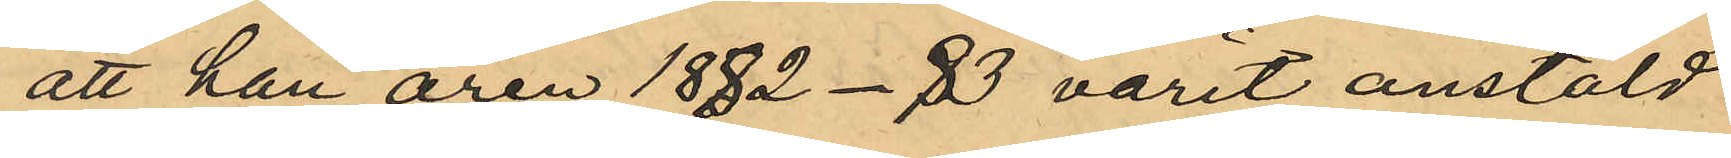att han åren 1882-83 varit anstäld
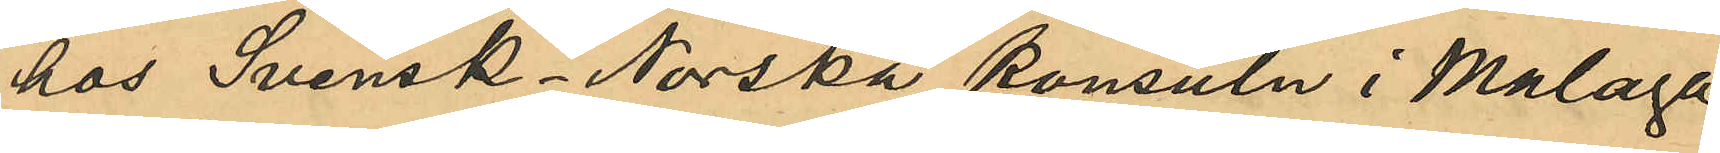hos Svensk-Norska konsuln i Malaga
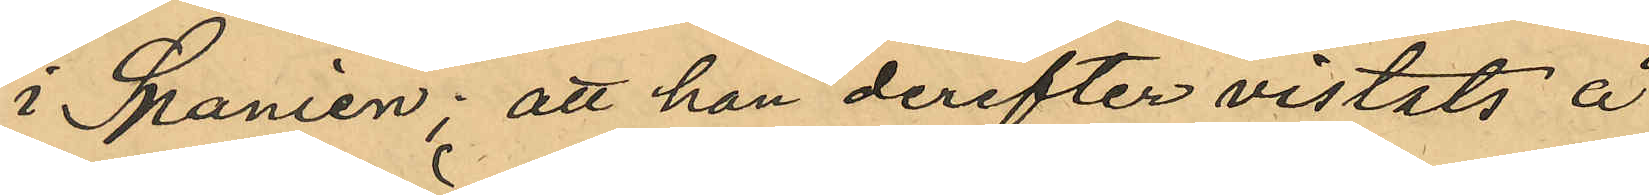i Spanien; att han derefter vistats å
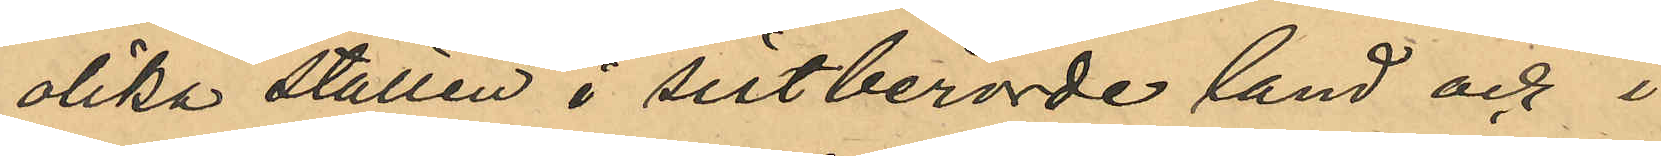olika ställen i sistberörde land och i
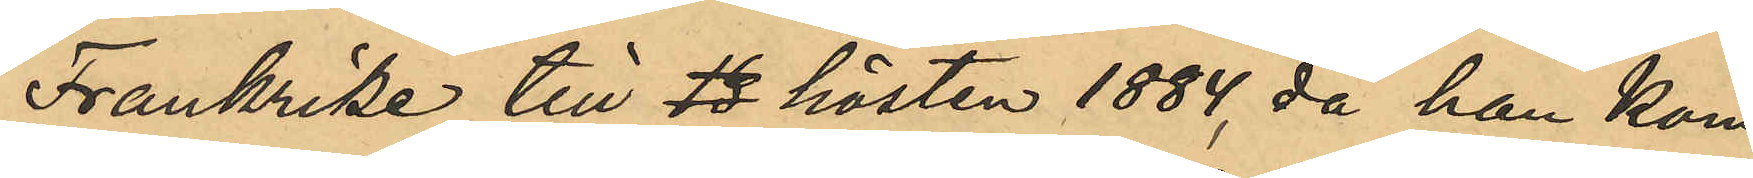Frankrike till hösten 1884, då han kom
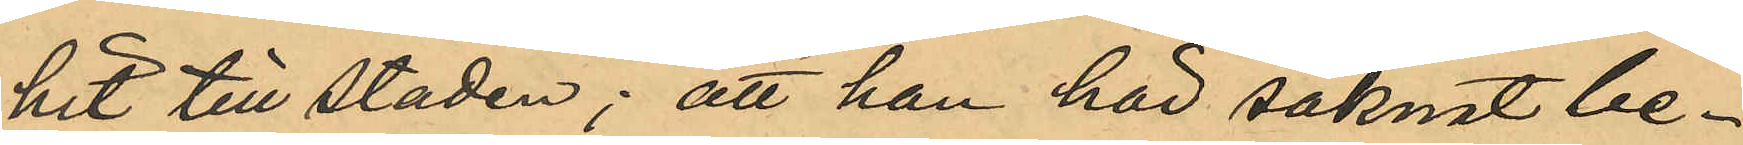hit till staden; att han här saknat be¬
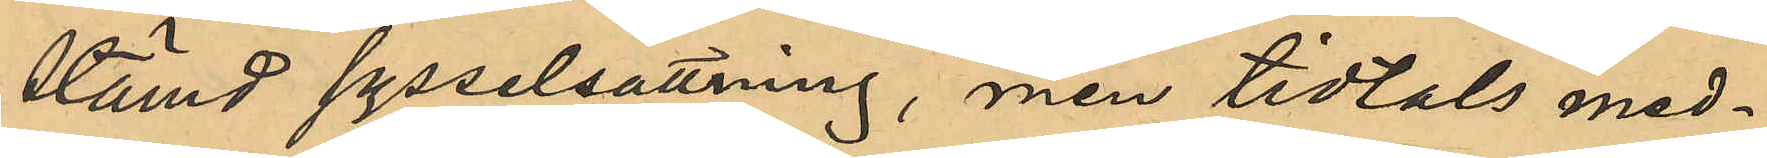stämd sysselsättning, men tidtals med¬
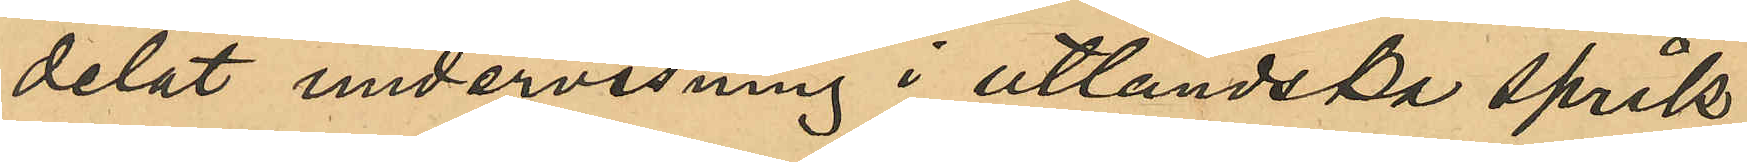delat undervisning i utländska språk;
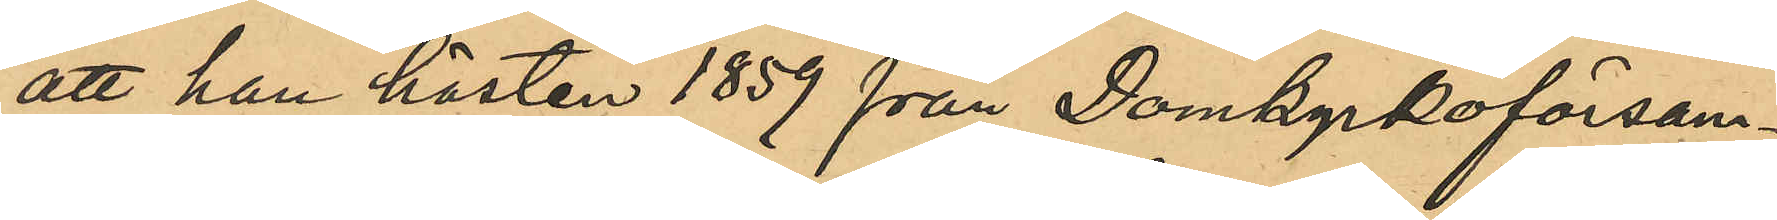att han hösten 1859 från Domkyrkoförsam¬
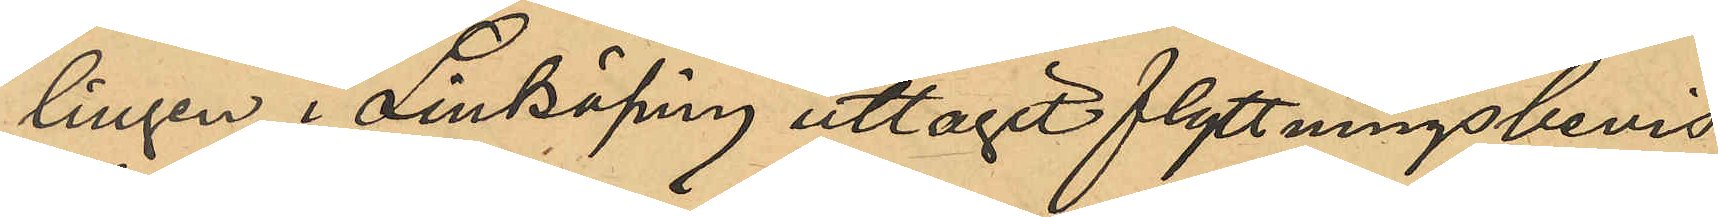lingen i Linköping uttagit flyttningsbevis,
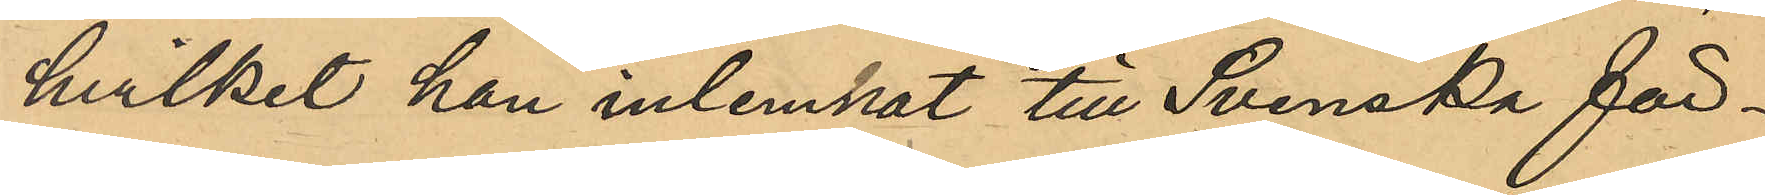hvilket han inlemnat till Svenska för¬
